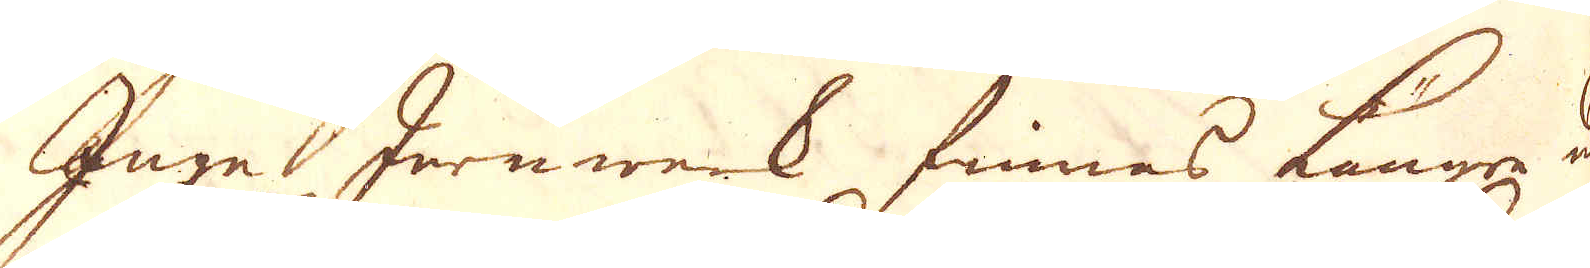Inge Jernwerk finnes längre ned
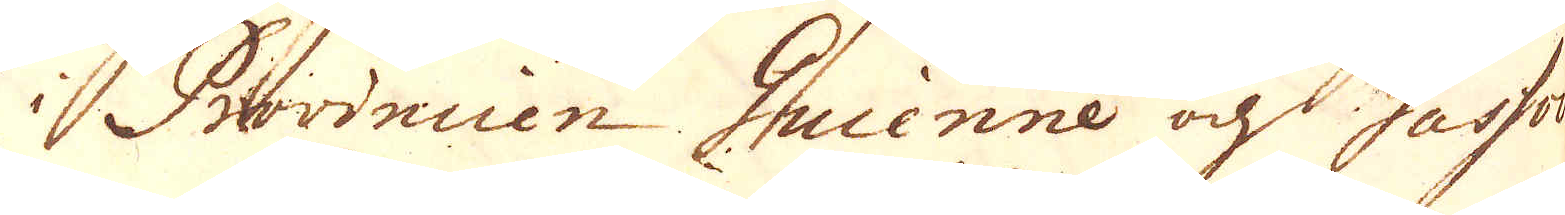i Provincen Guienne och Gassco-
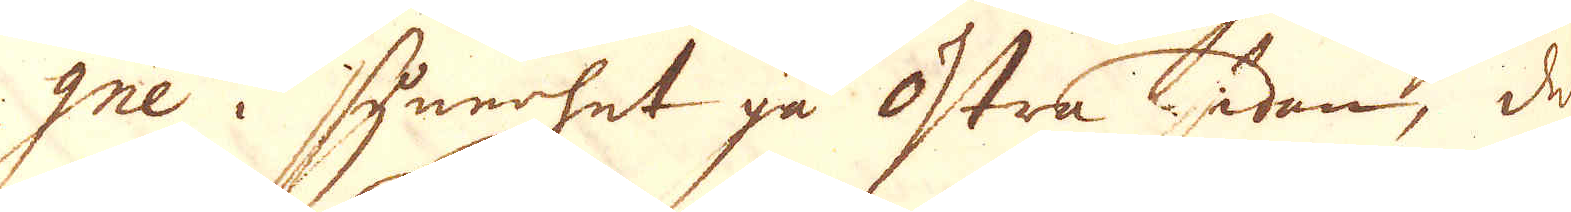gne i synerhet på Östra sidan, de
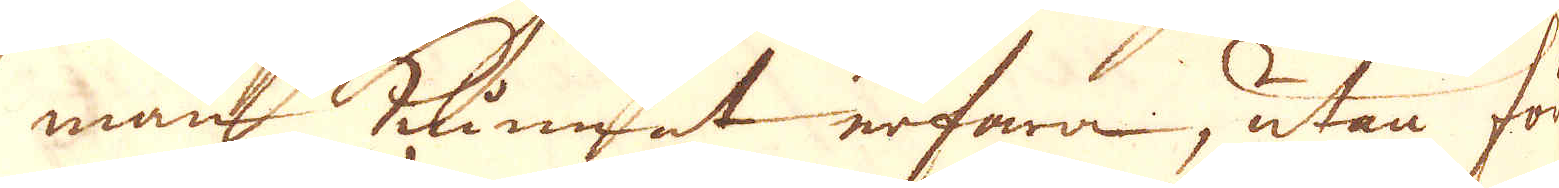man kunnat erfara, utan för
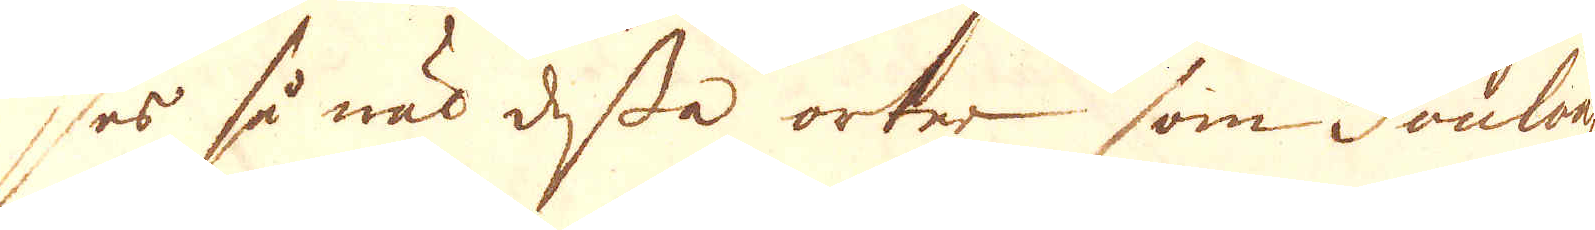ser så wäl dessa orter som Toulous
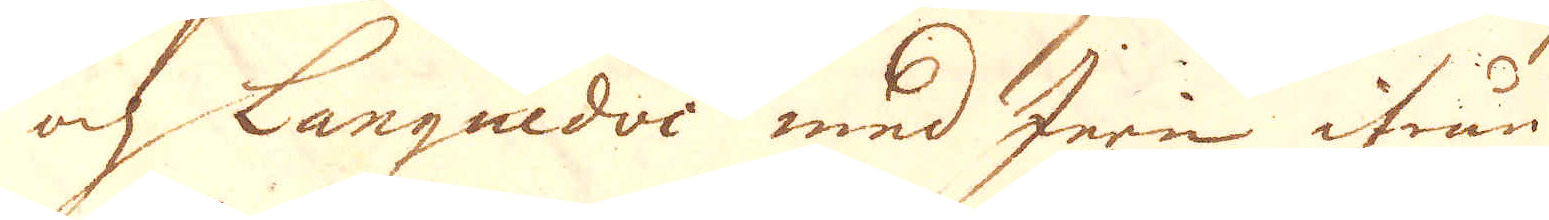och Languedoc med Jern ifrån
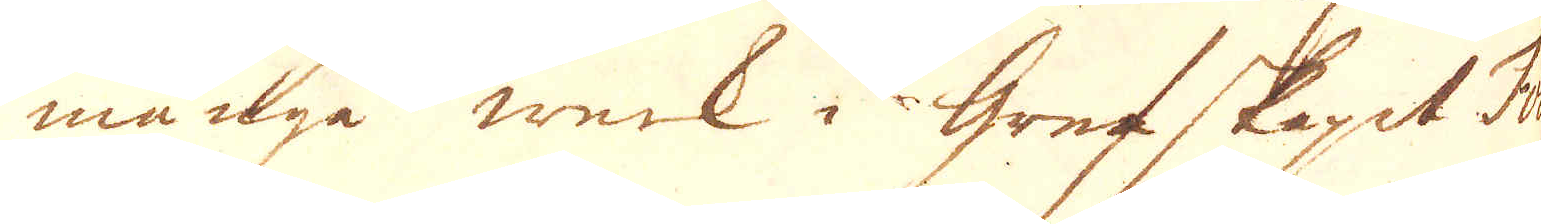många werk i Grefskapet Fo
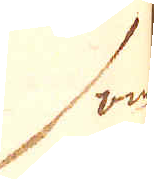som
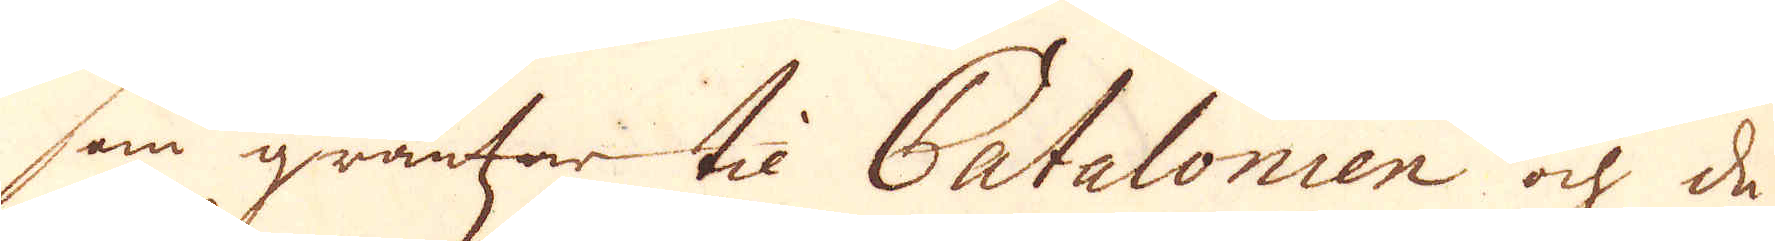som gränsar til Patalonien och de
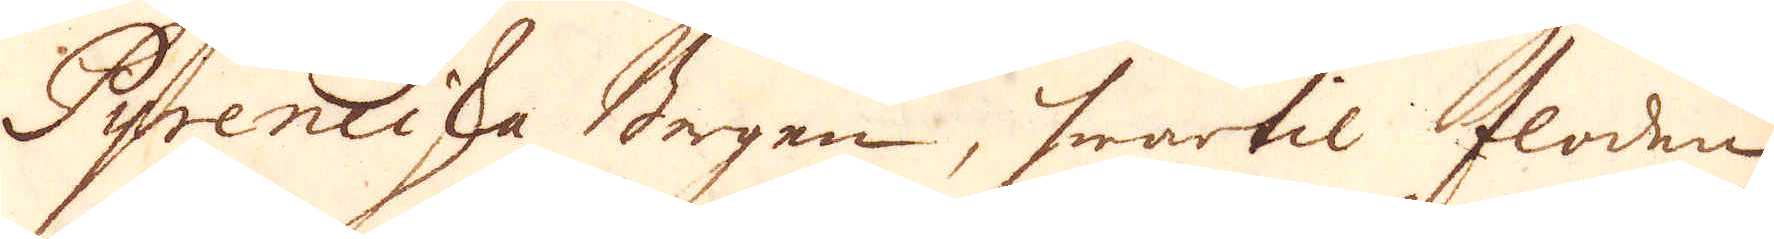Pyrensiska Bergen, hwartil floden
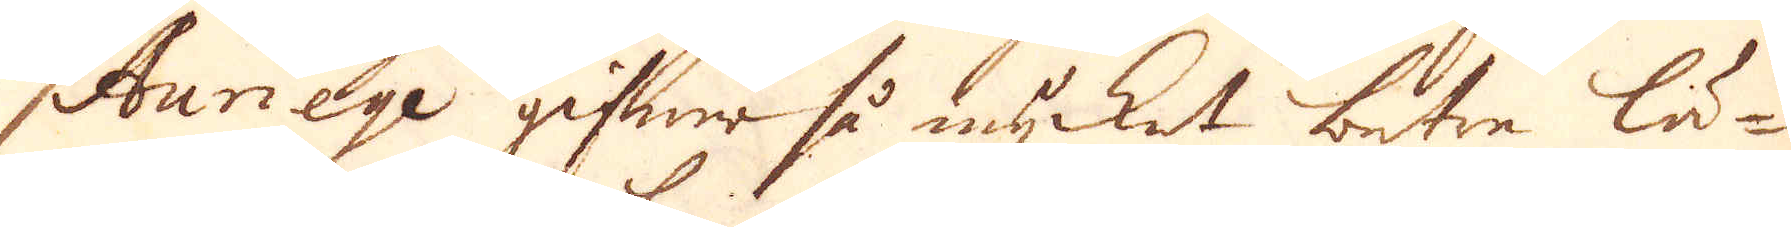Auriege gifwer så mycket bätre lä-
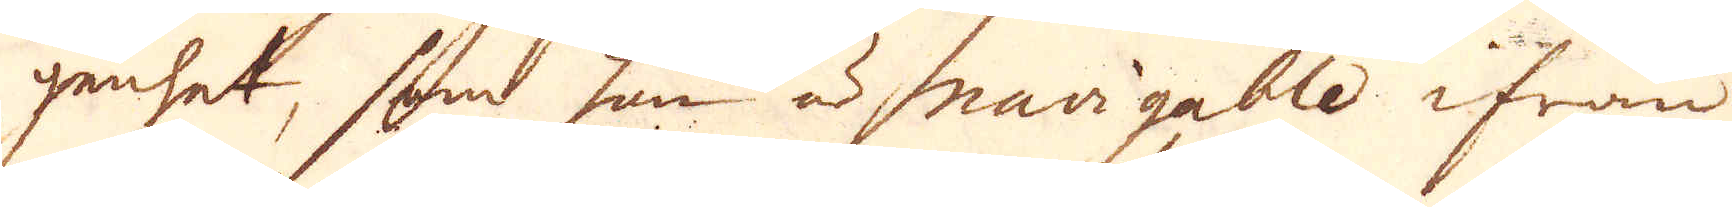genhet, som han är navigable ifrån
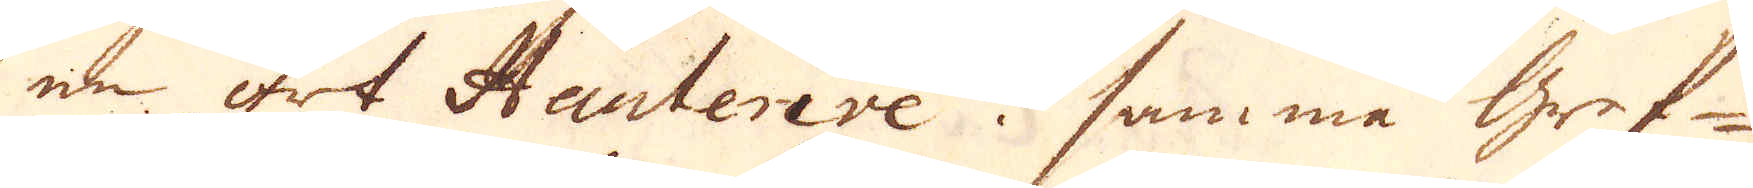en ort Hauterive i samma gref-
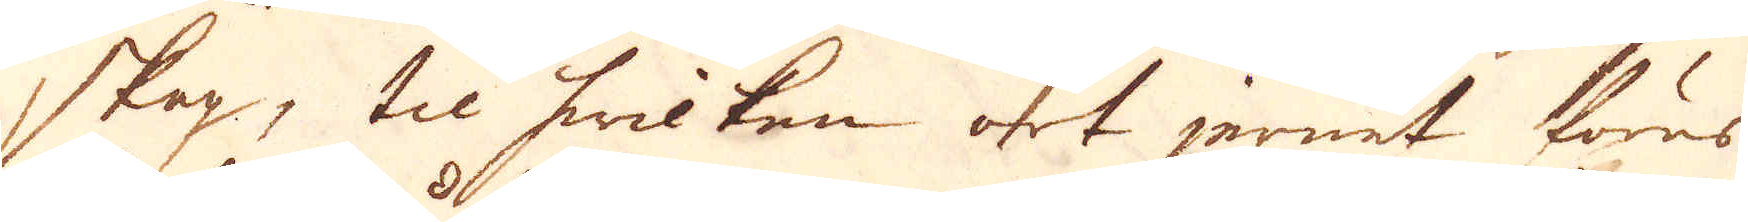skap, til hwilken ort jernet föres
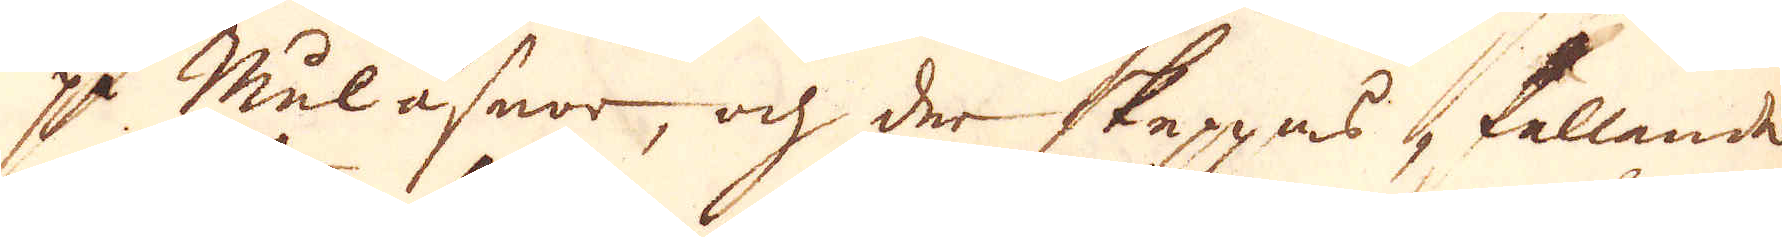på Mulåsnor, och der skeppas, kallande
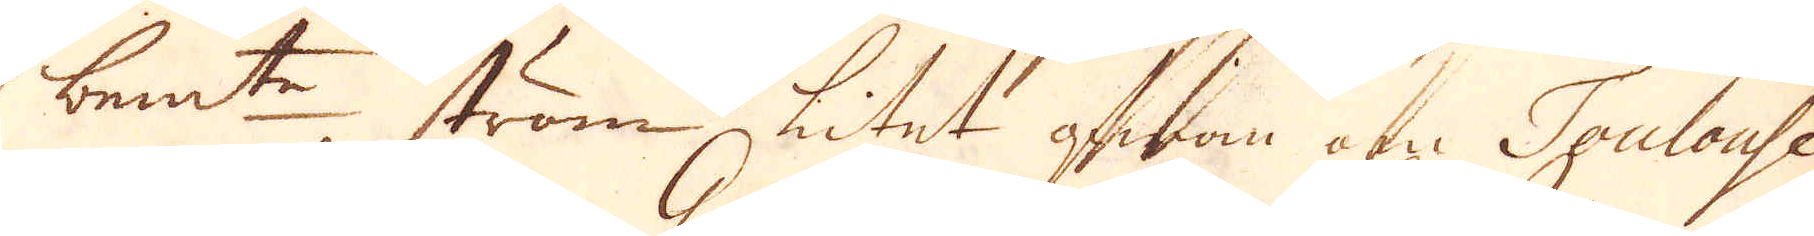bem:te ström litet ofwan om Toulouse
